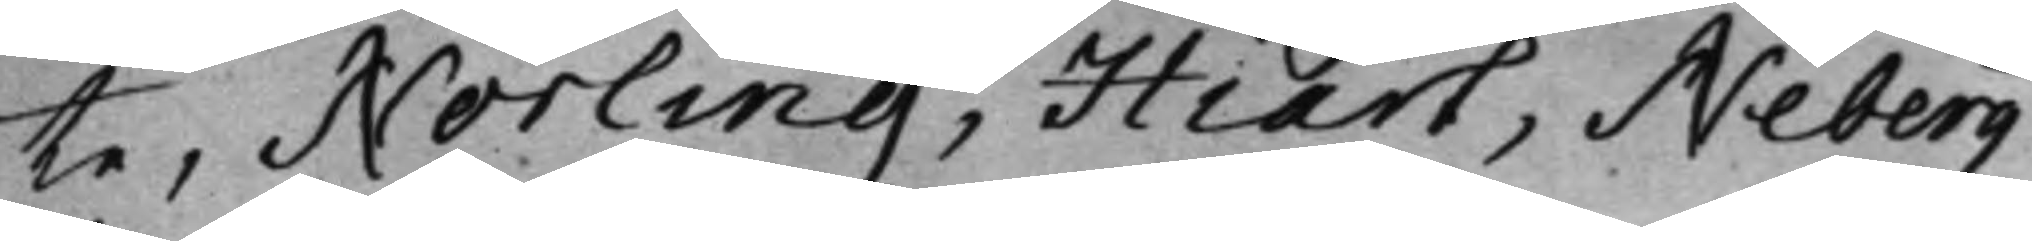te, Norling, Hiart, Neberg
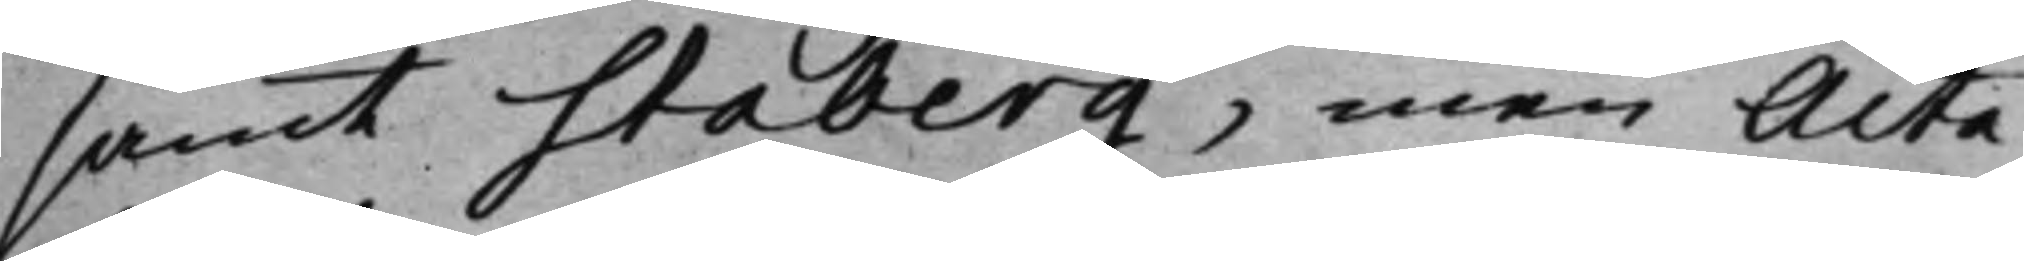samt Staberg, men Acta
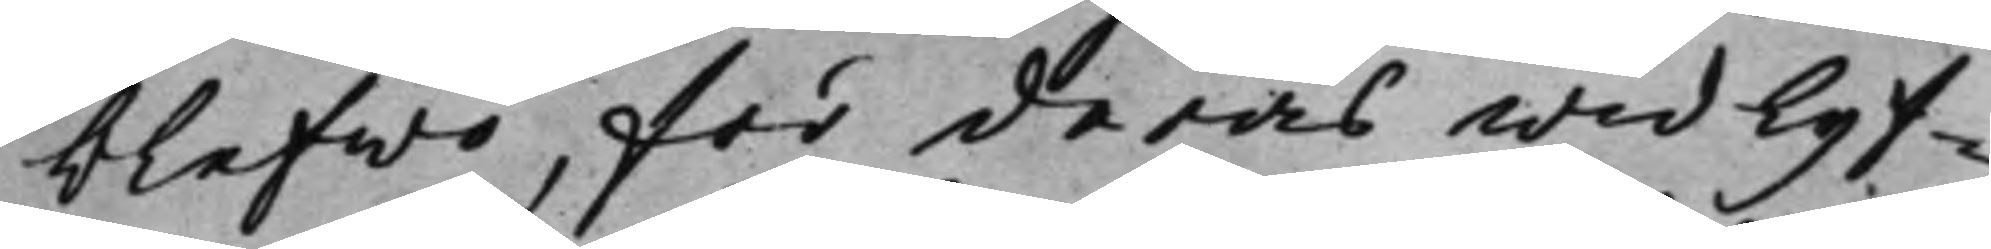blefwo, för deras widlyf¬
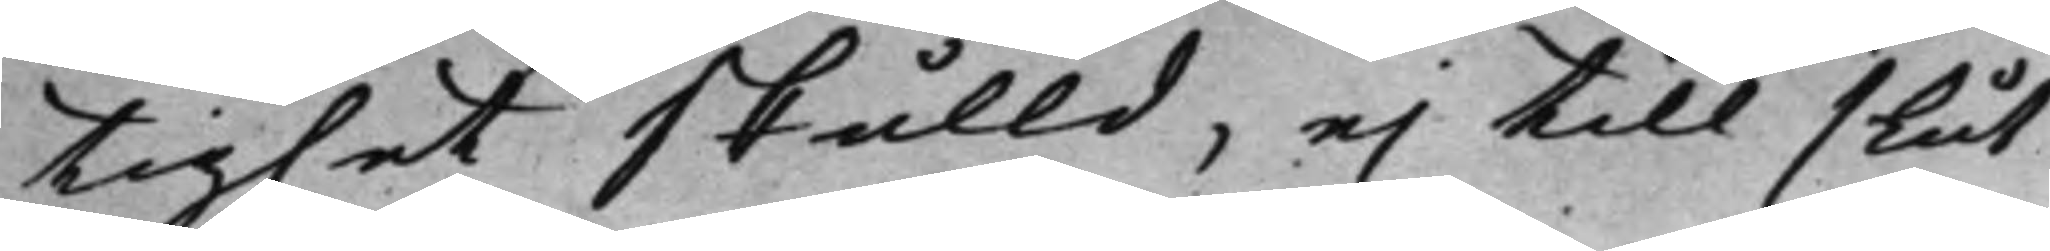tighet skulld, ej till slut,
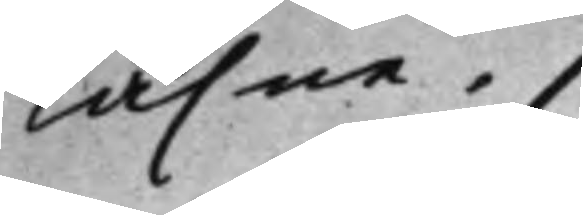läsne.
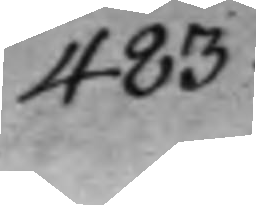483.
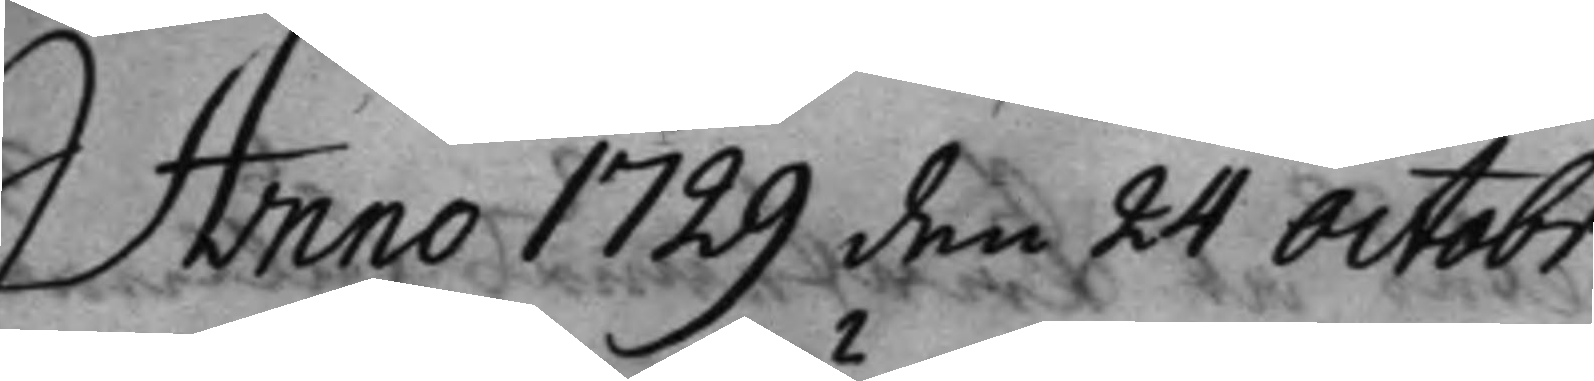Anno 1729 den 24 Octobr.
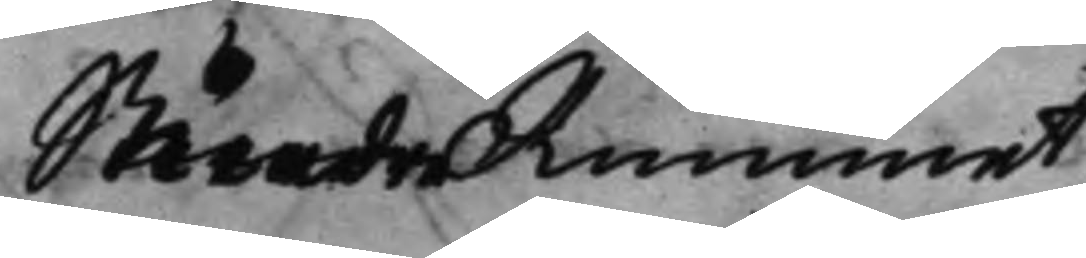Mindre Rummet
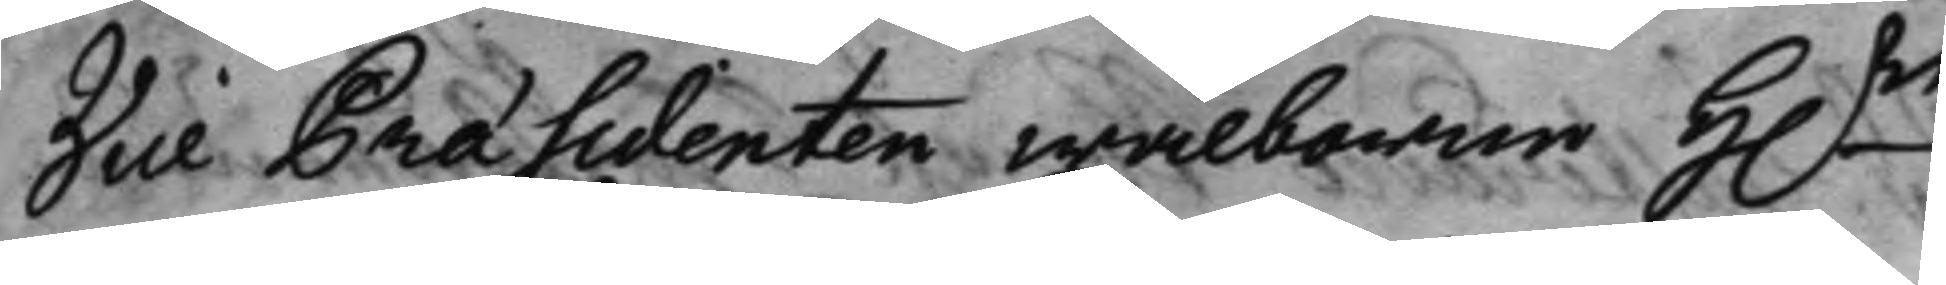Vice Præsidenten wälborne H.r 
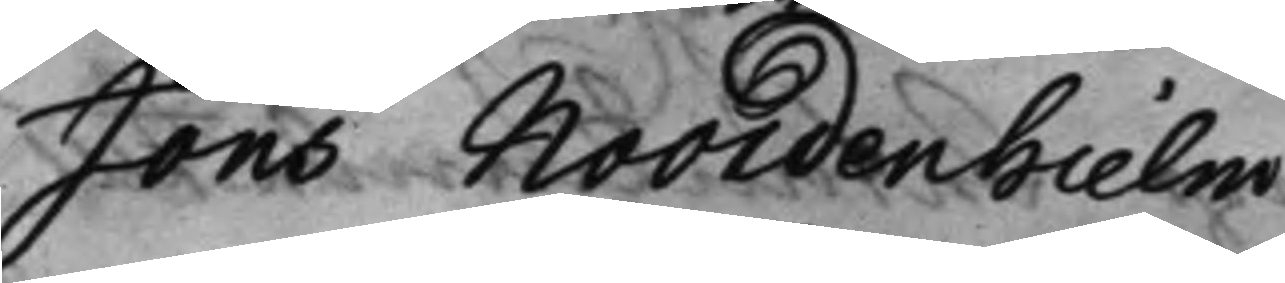Jöns Noordenhielm
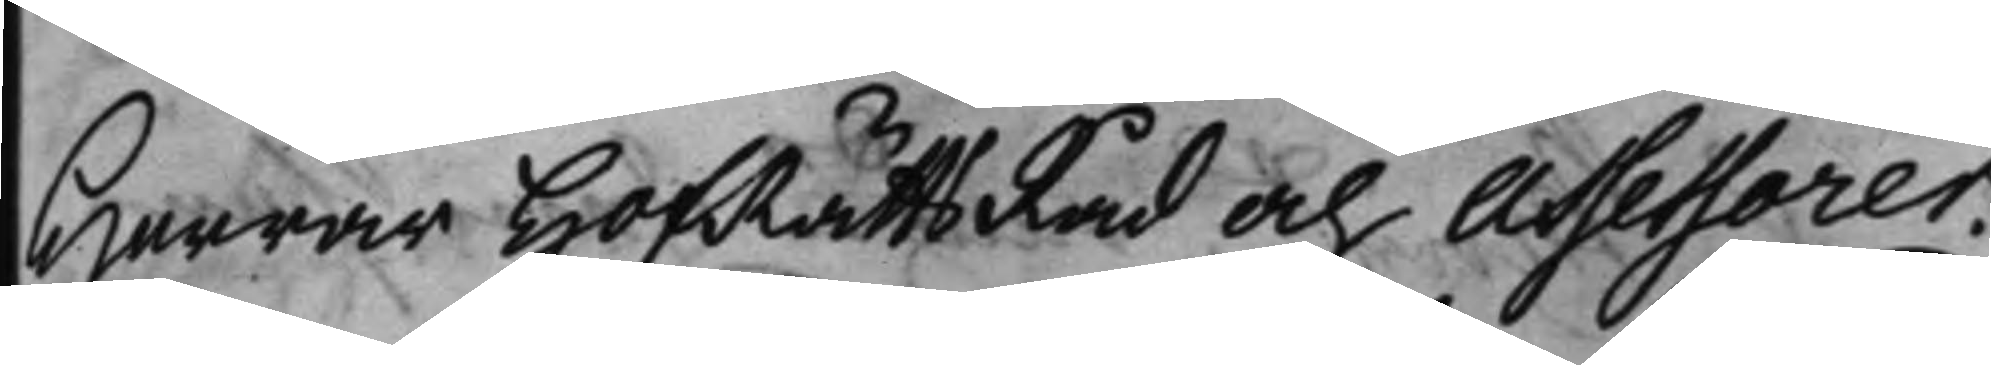Herrar HofRättsRåd och Assessorer.
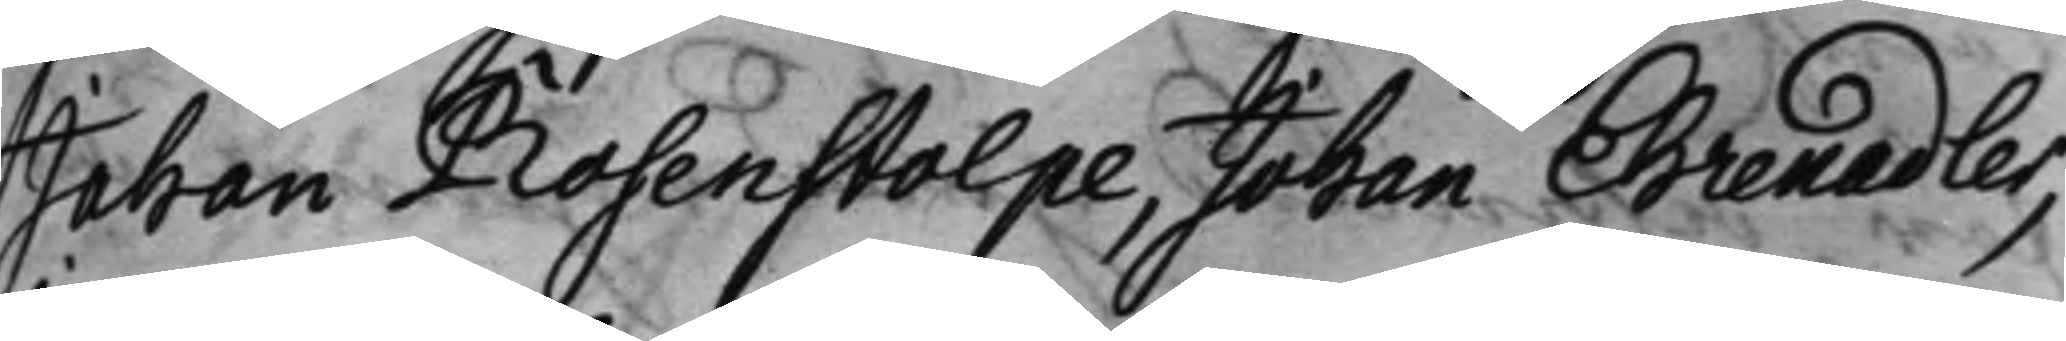Johan Rosenstolpe, Johan Ehrenadler,
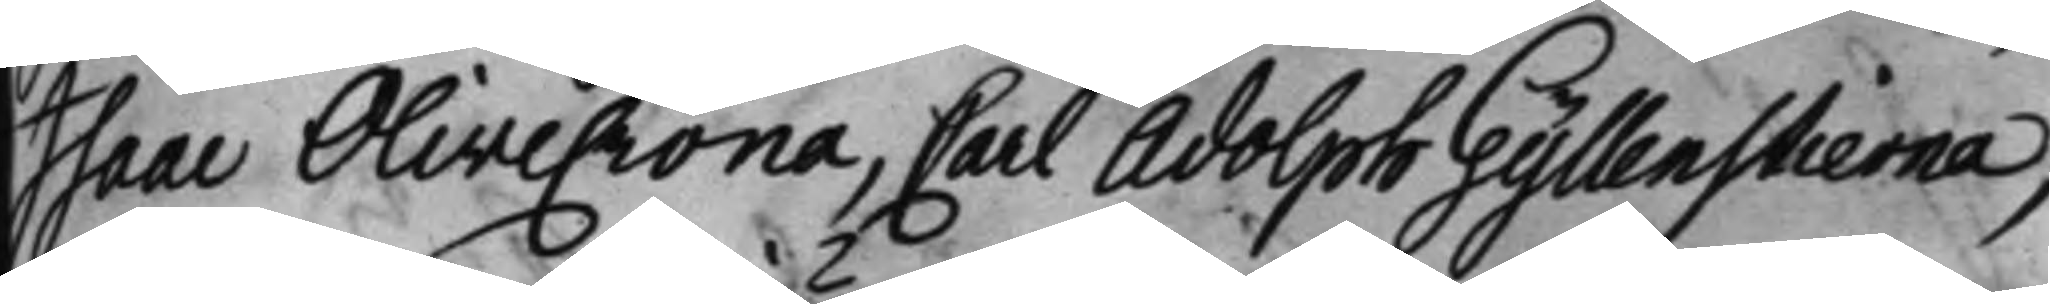Isaac Olivecrona, Carl Adolph Gyllenstierna,
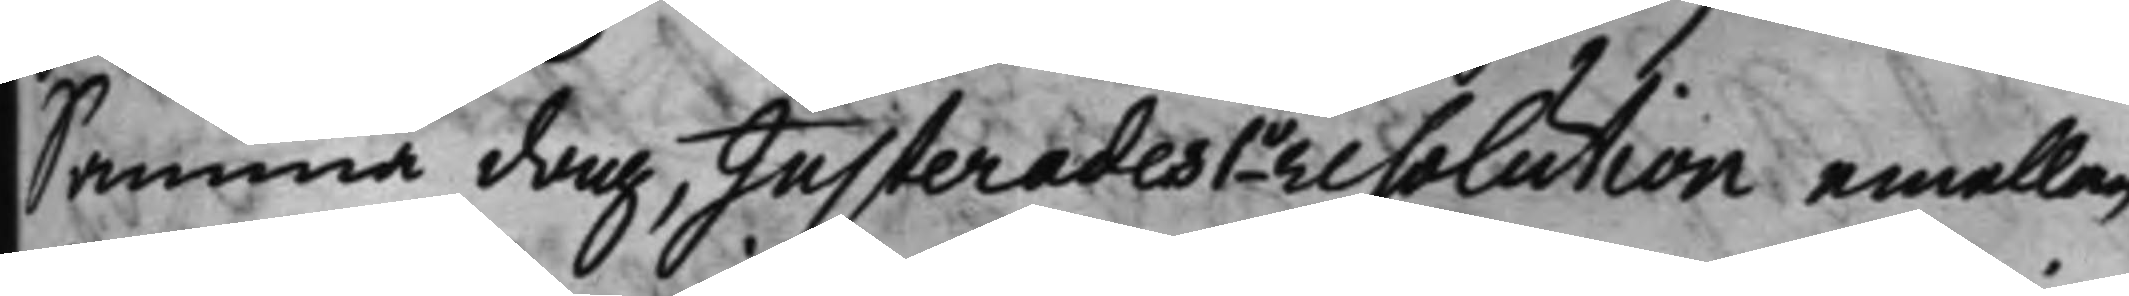Samma dag, Justerades 1o resolution emellan
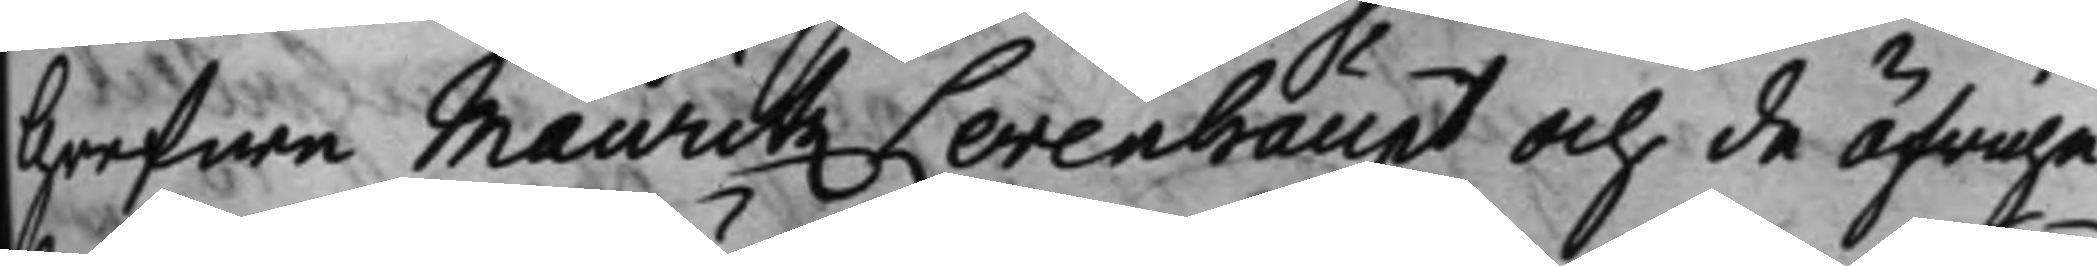Grefwe Mauritz Levenhaupt och de öfrige
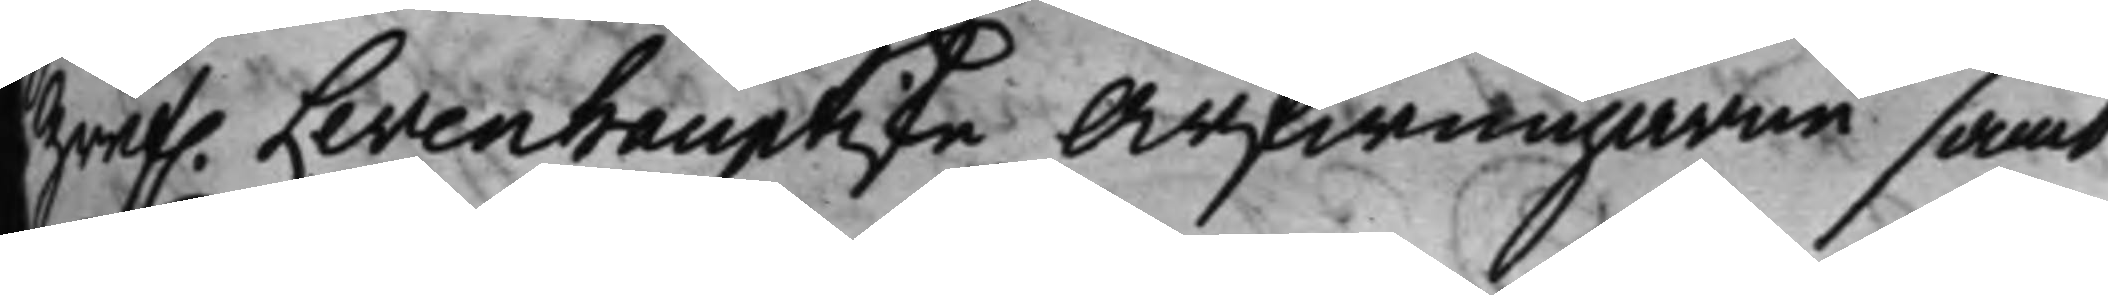Gref. Levenhauptske Arfwingarne samt
